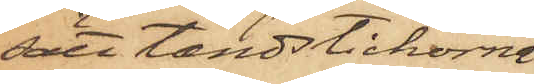sätt tändstickorna
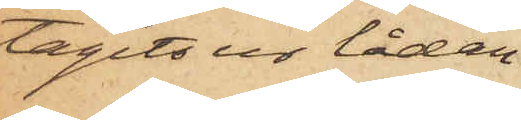tagits ur lådan.
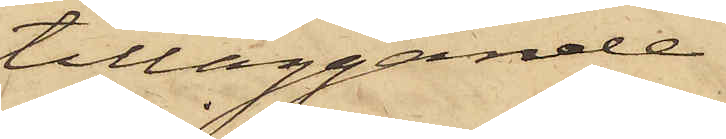tilläggande
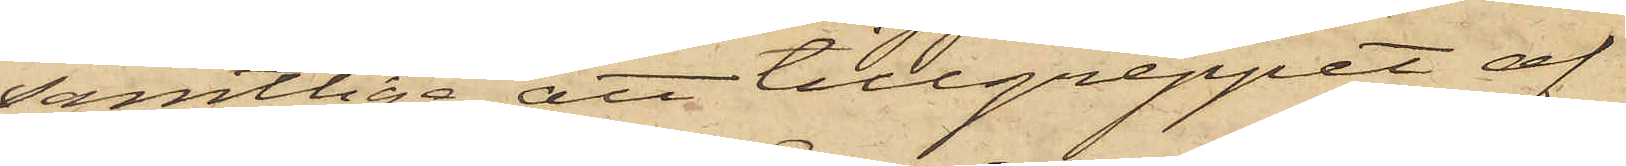samtlige, att tillgreppet af
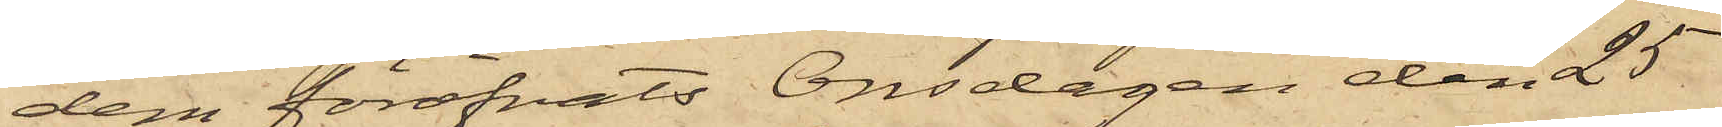dem föröfvats Onsdagen den 25
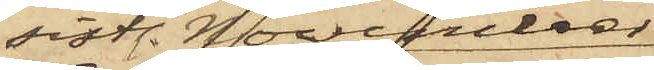sistl. November
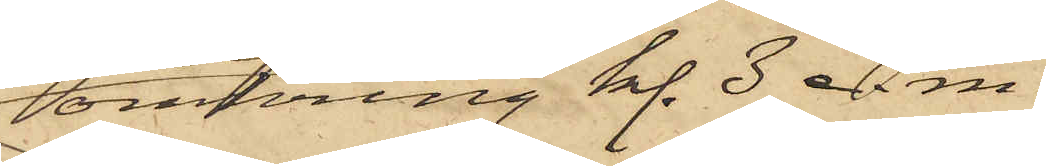omkring kl. 3 e. m.
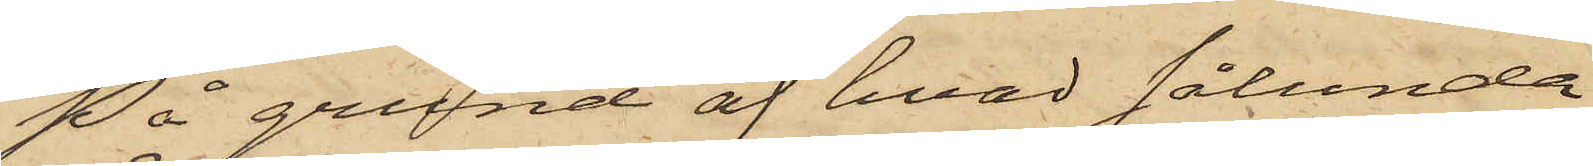På grund af hvad sålunda
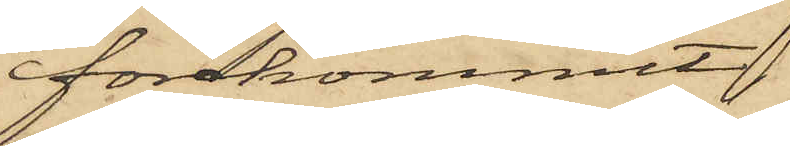förekommit
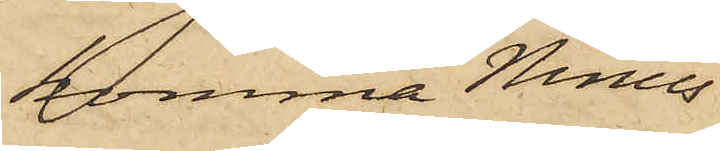komma Ninus
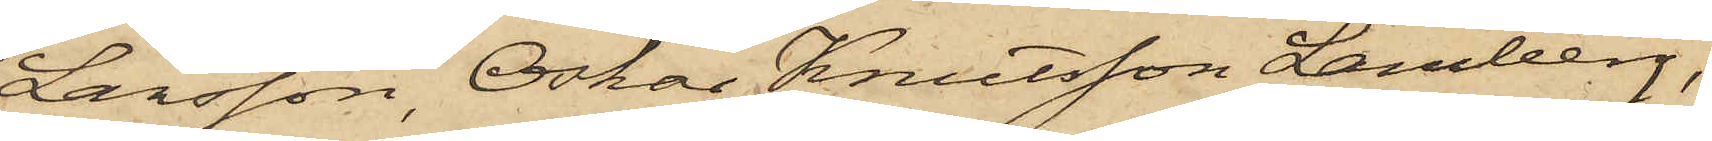Larsson, Oskar Knutsson Lamberg,
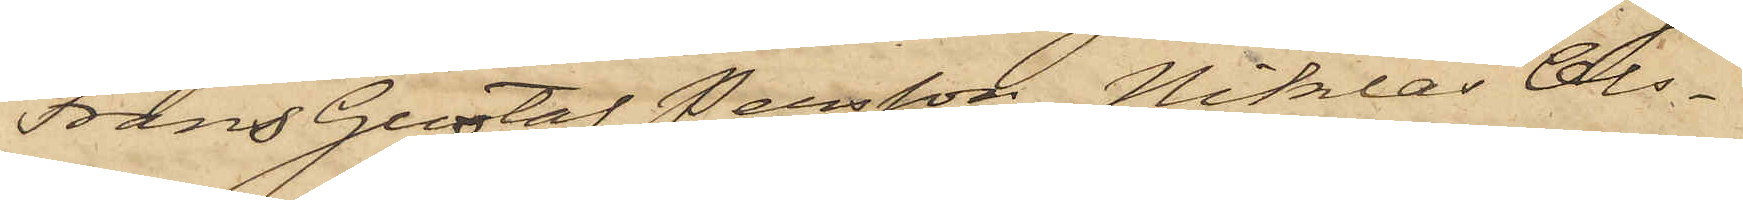Frans Gustaf Persson, Niklas Ols¬
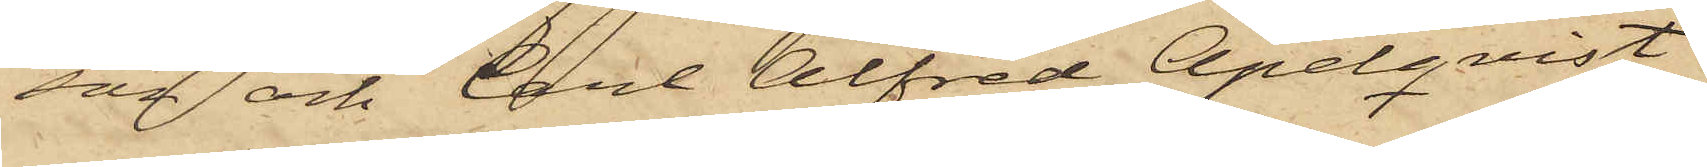son och Carl Alfred Apelqvist
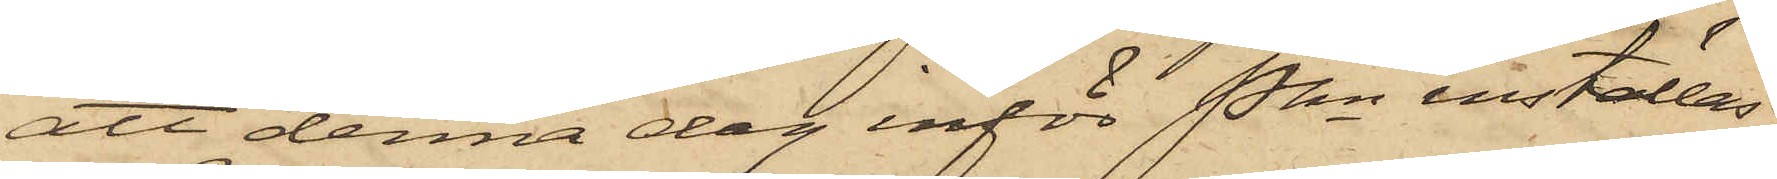att denna dag inför Pkn inställas.
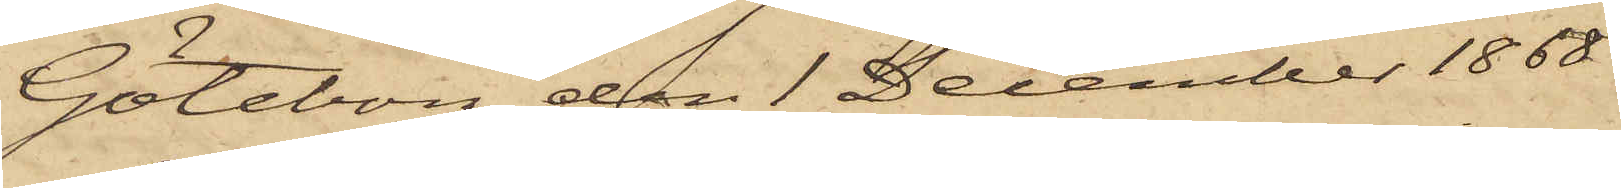Göteborg den 1 December 1868.
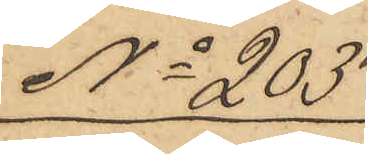No 203
